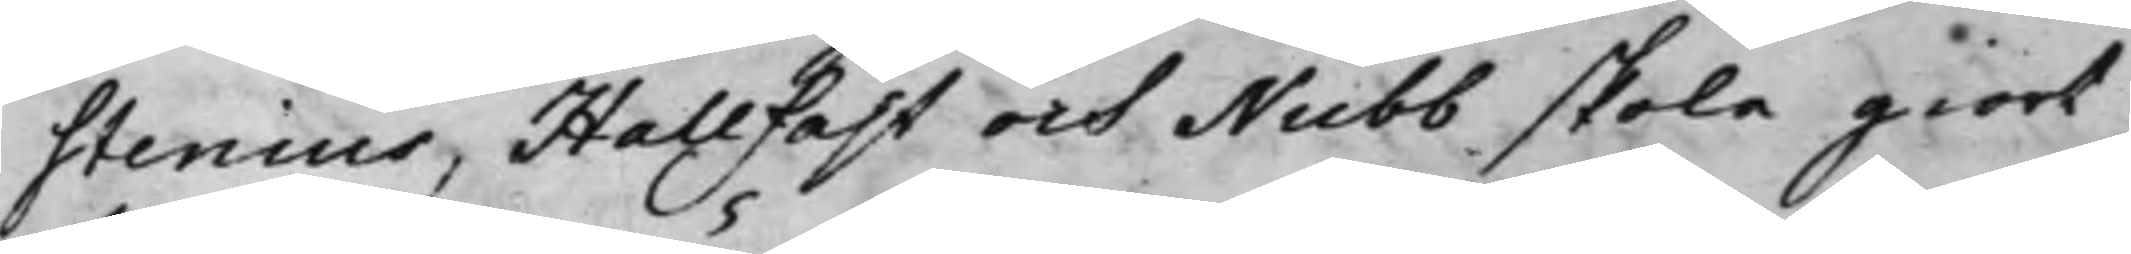stenius, Hallfast och Nubb skola giort
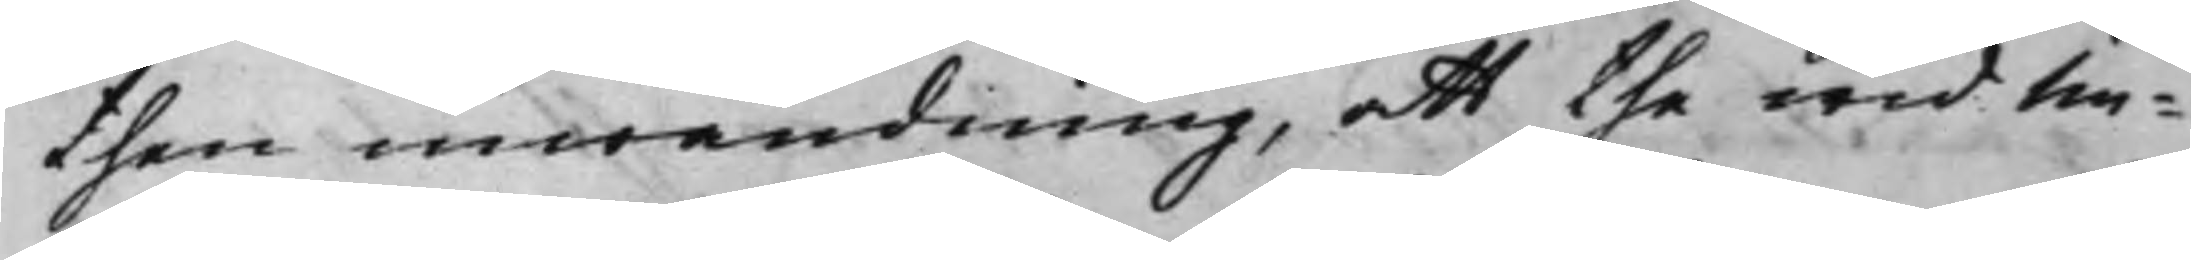then inwändning, att the wid Un¬
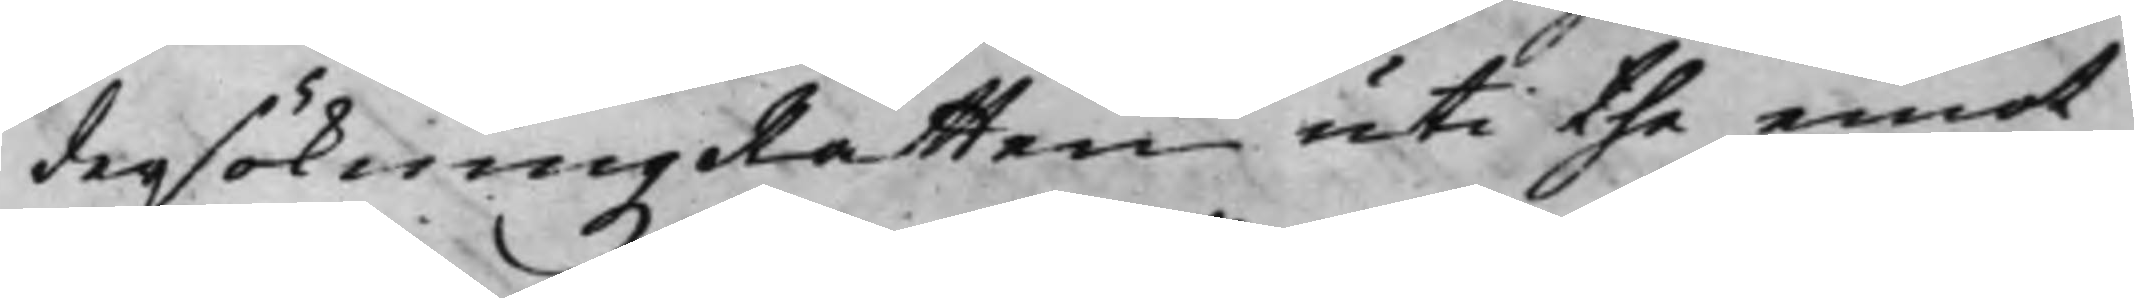dersökningzRätten uti the emot
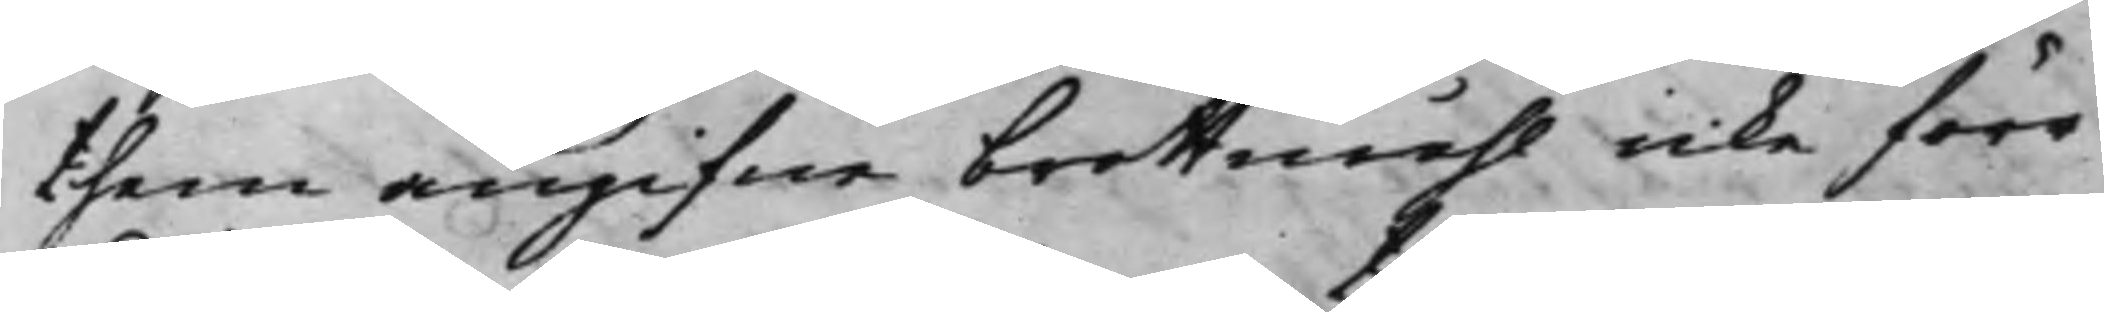them angifne brottmähl icke förr
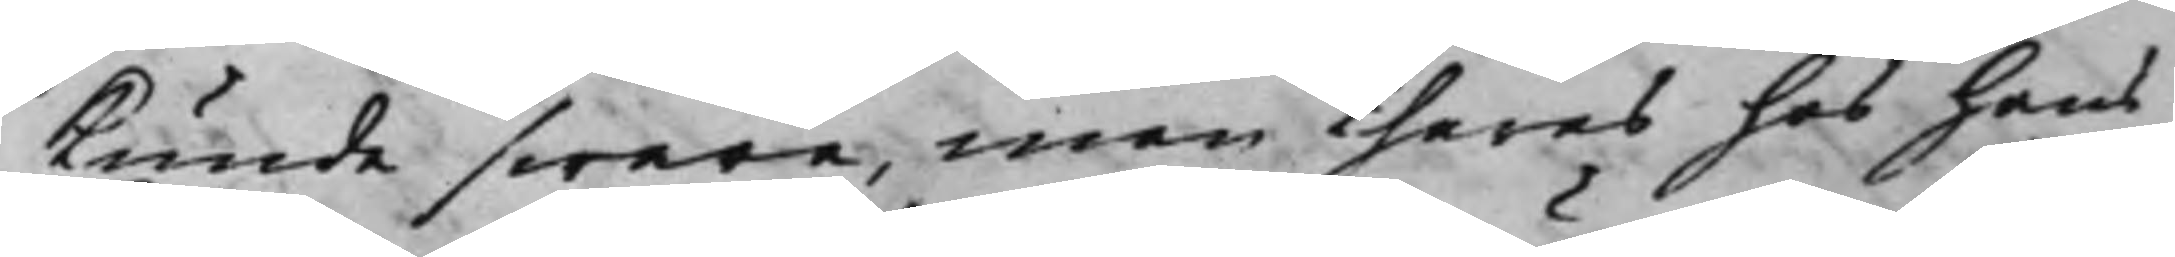kunde swara, inan theras hos Hans
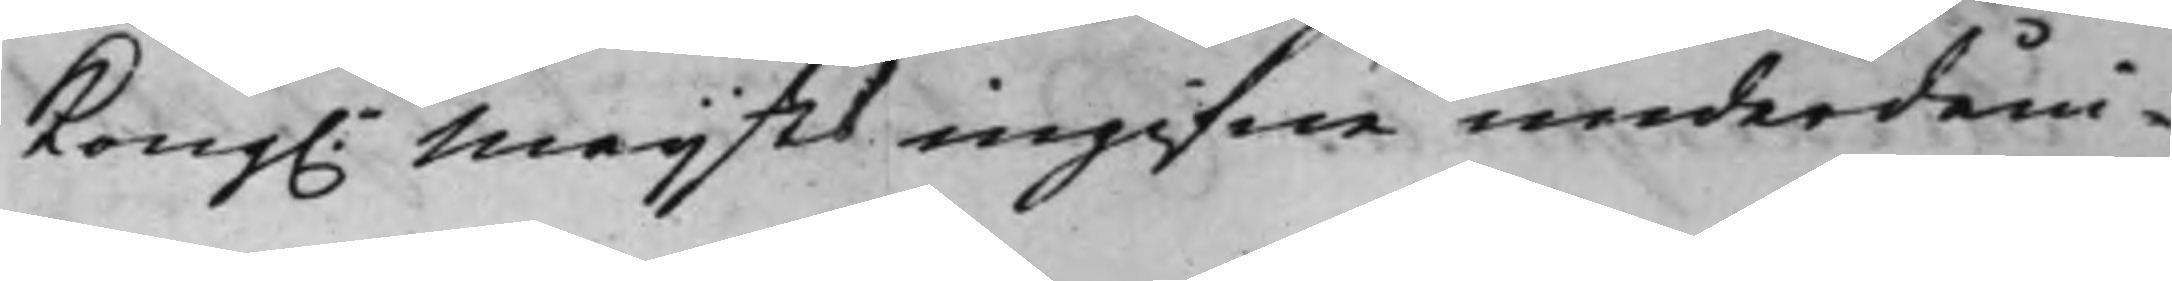Kong.e Maijtt ingifne underdåni¬
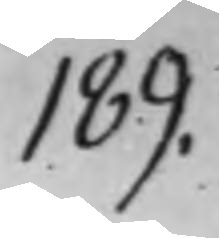189.
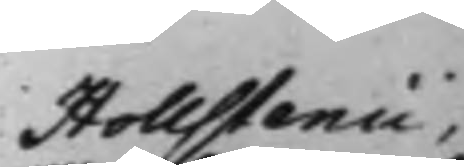Hollstenii.
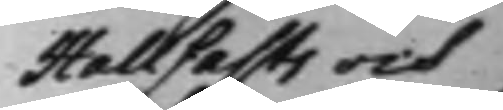Hallfasts och
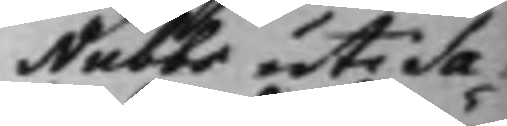Nubbs uti Sa¬
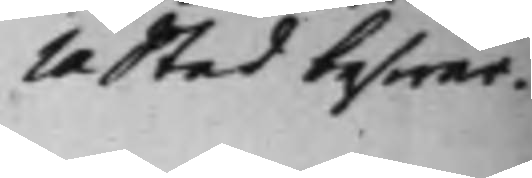la Stad beswär,
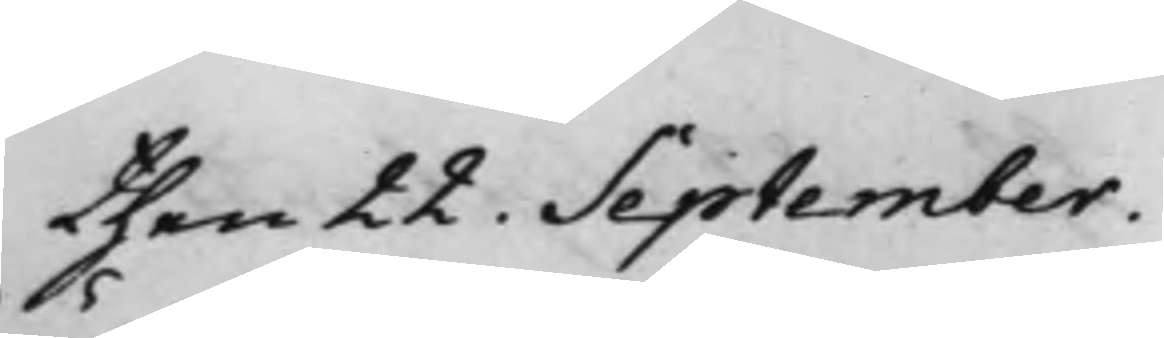then 22. September.
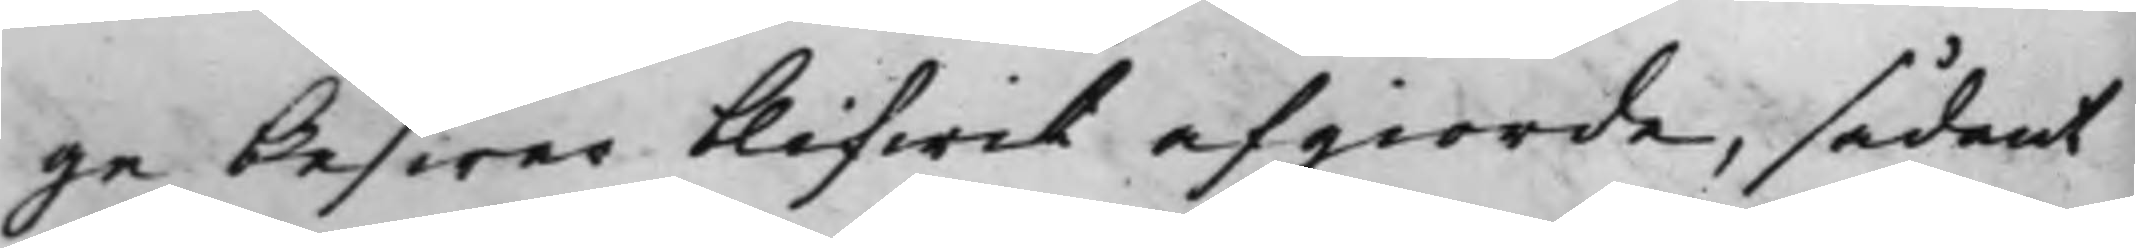ge beswär blifwit afgiorde, sådant
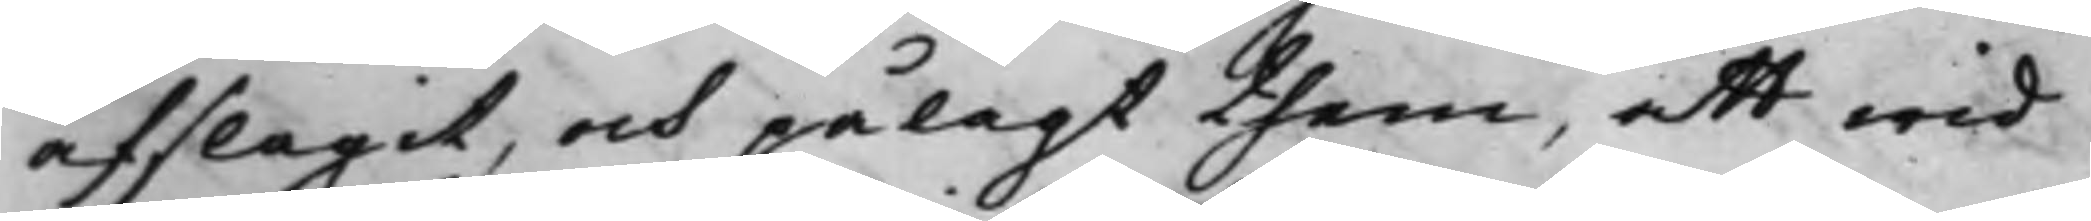afslagit, och pålagt them, att wid
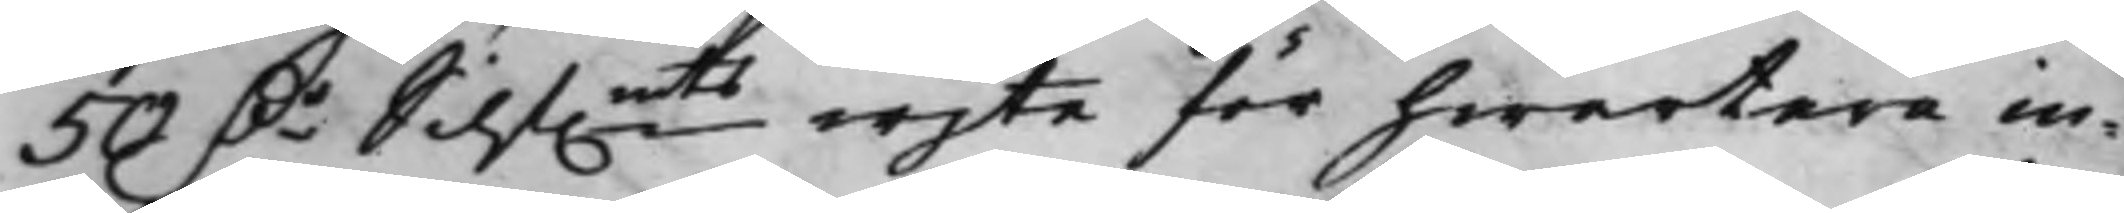50 D.r Silf.mts wijte för hwartera in¬
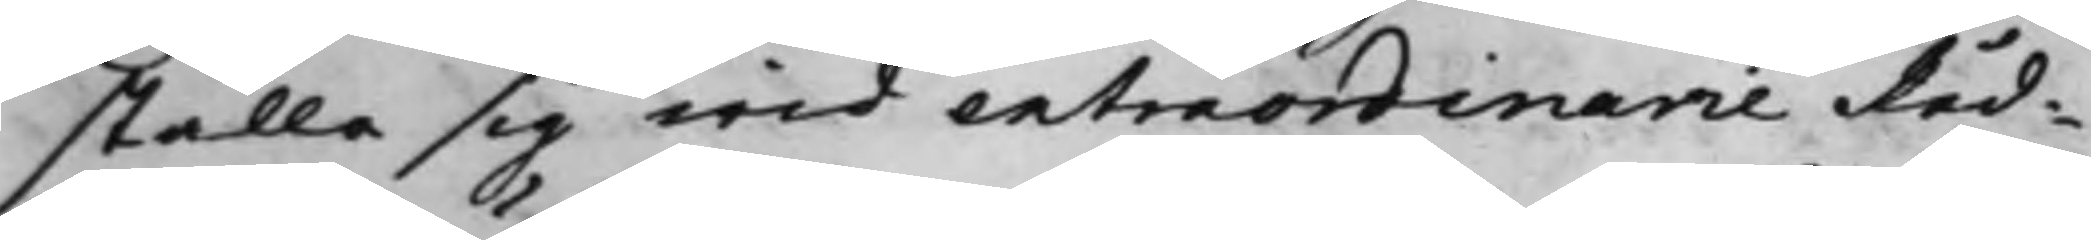ställa sig wid extraordinarie Råd¬
